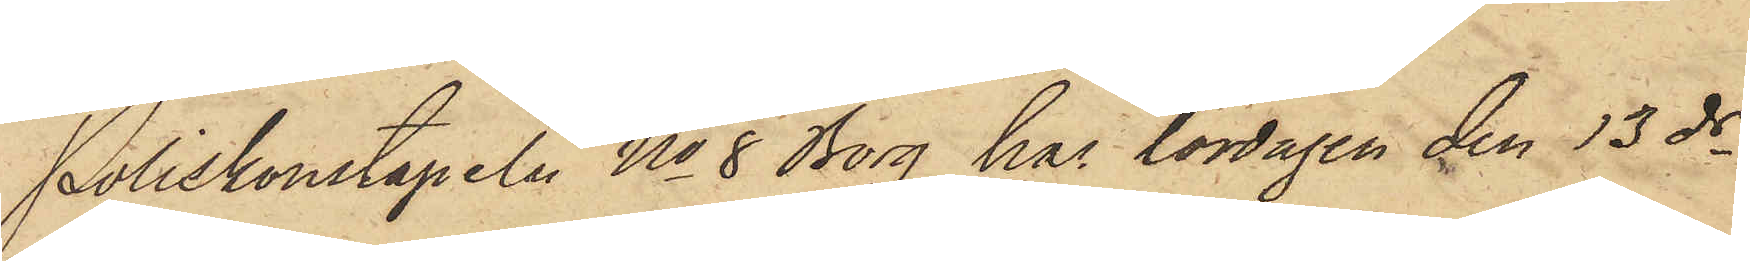Poliskonstapeln No 8 Borg har lördagen den 13 ds
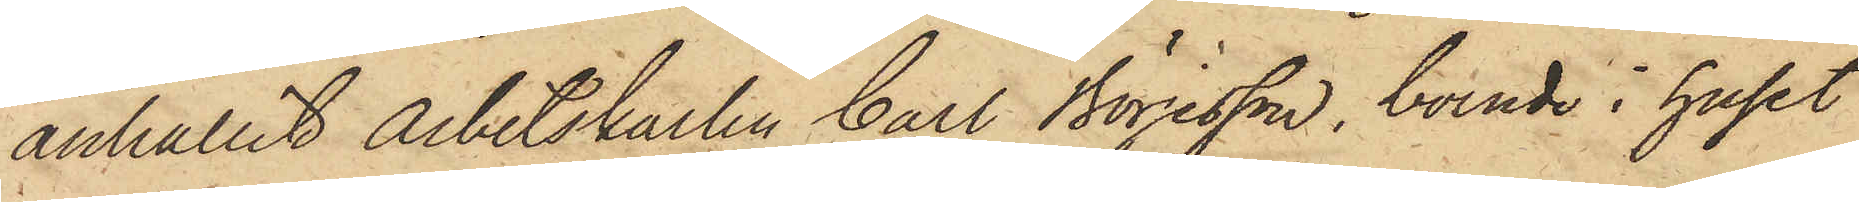anhållit Arbetskarlen Carl Börjesson, boende i huset
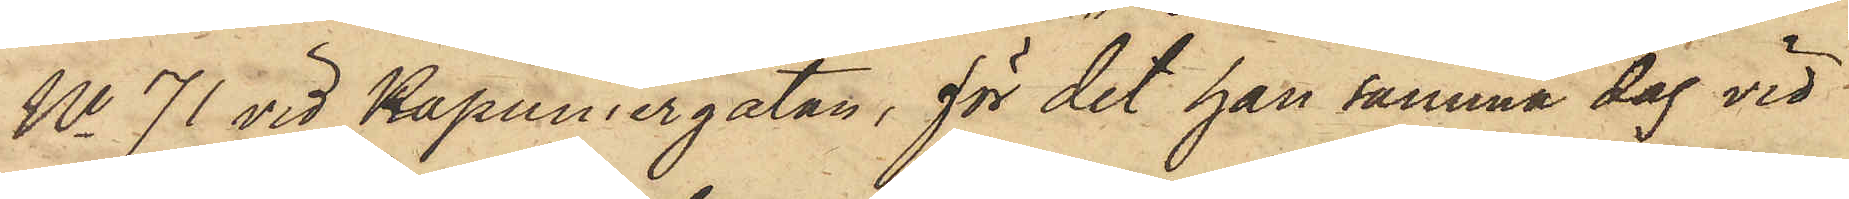No 71 vid Kapuniergatan, för det han samma dag vid
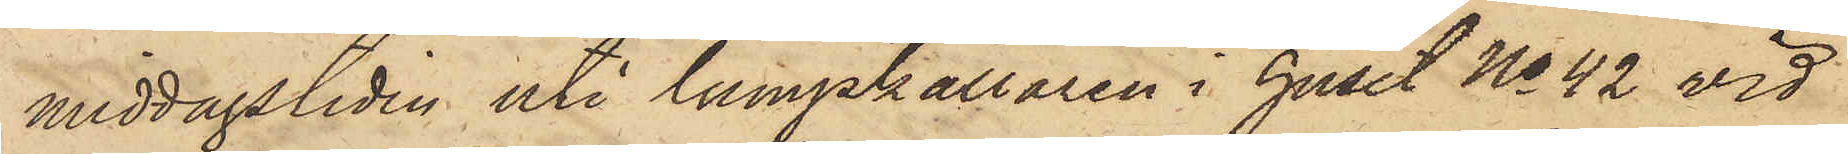middagstiden uti lumpkällaren i huset No 42 vid
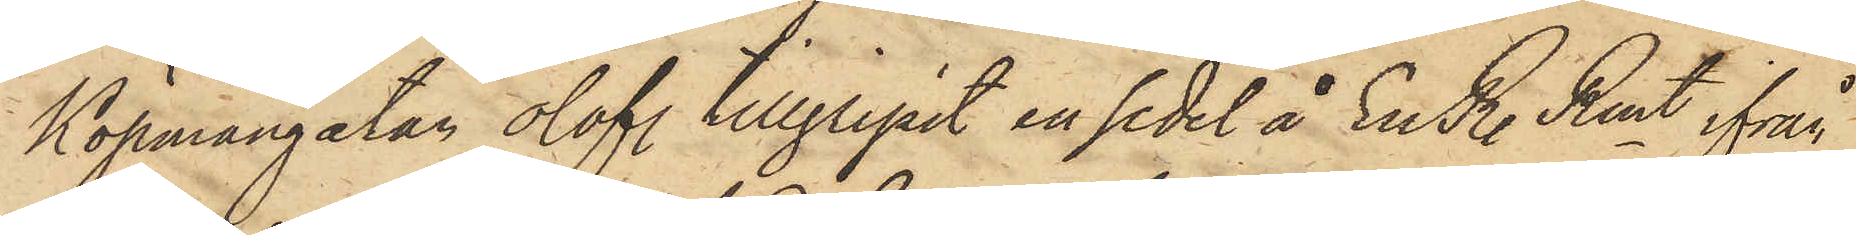Köpmangatan olof. tillgripit en sedel å En R. Rmt ifrån
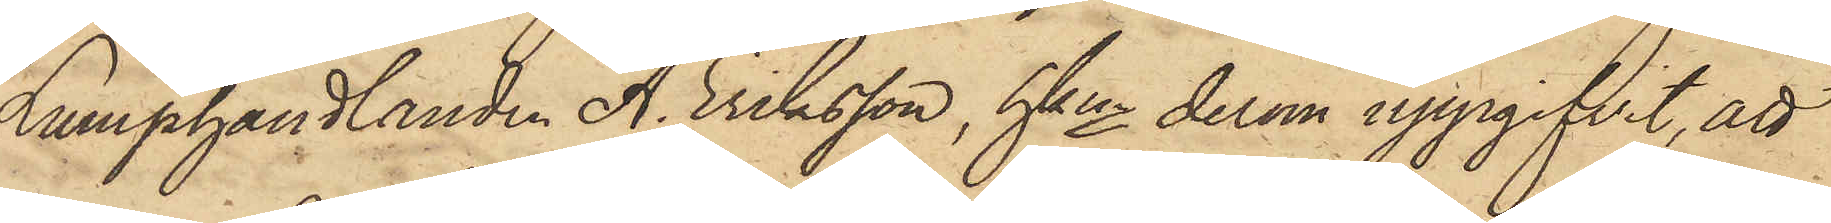Lumphandlanden A. Eriksson, hken derom uppgifvit, att
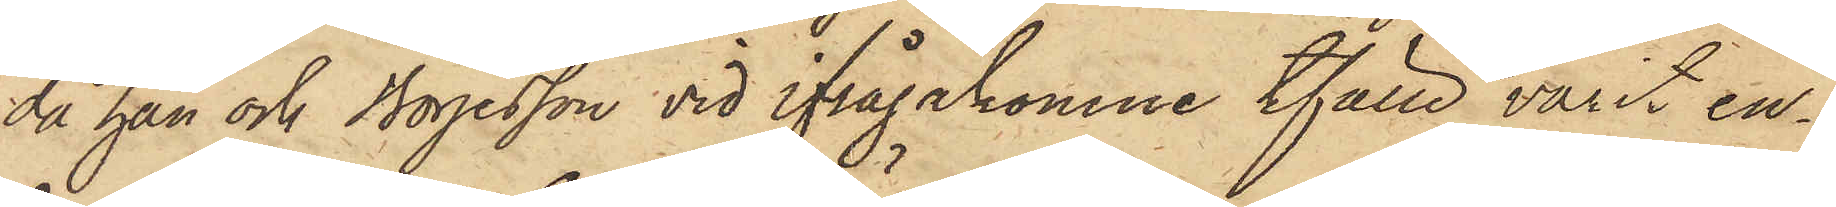då han och Börjesson vid ifrågakomne tfälle varit en¬
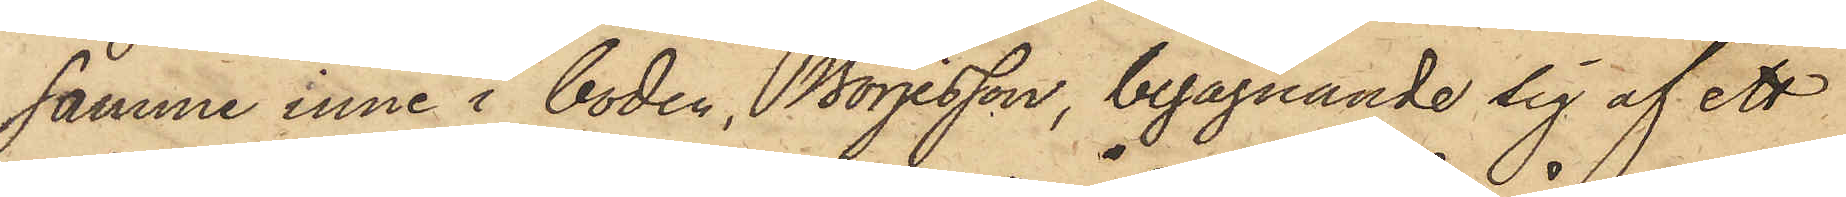samme inne i boden, Börjesson, begagnande sig af ett
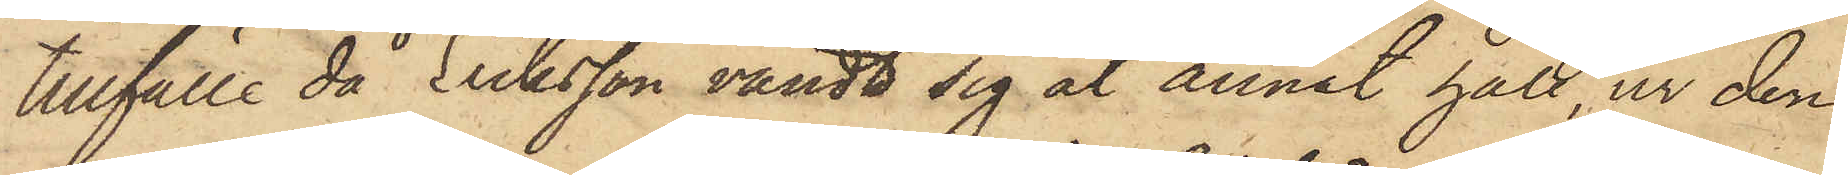tillfälle då Eriksson vändt sig åt annat håll, ur den
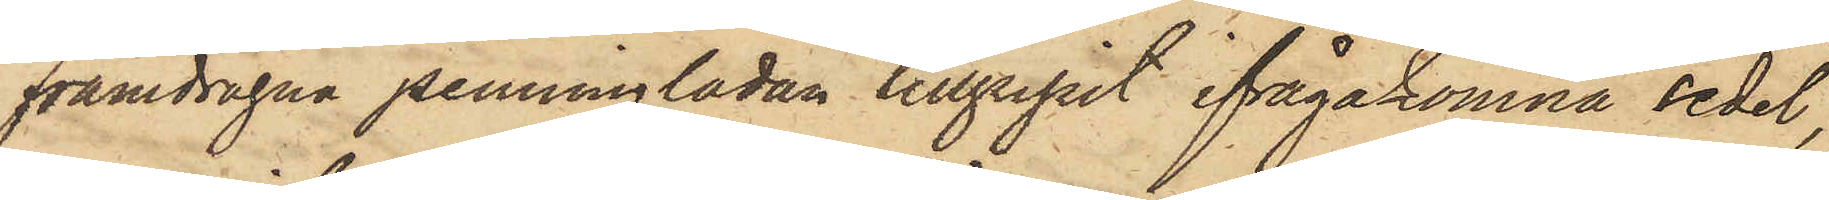framdragna penninglådan tillgripit ifrågakomna sedel,
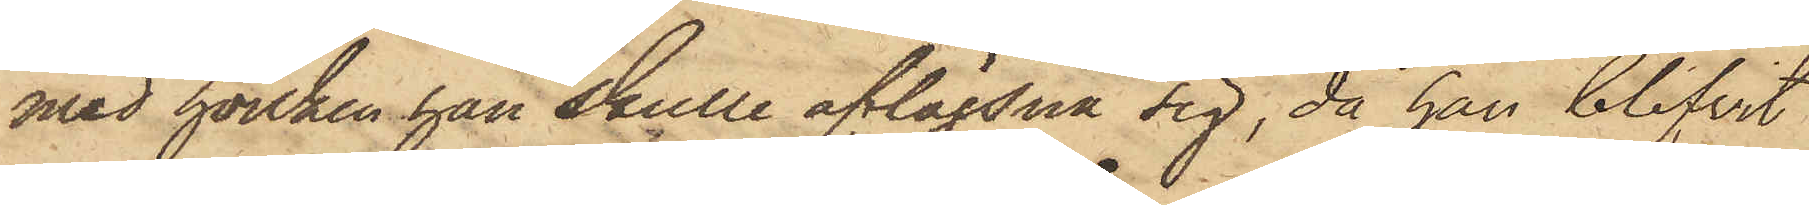med hvilken han skulle aflägsna sig, då han blifvit
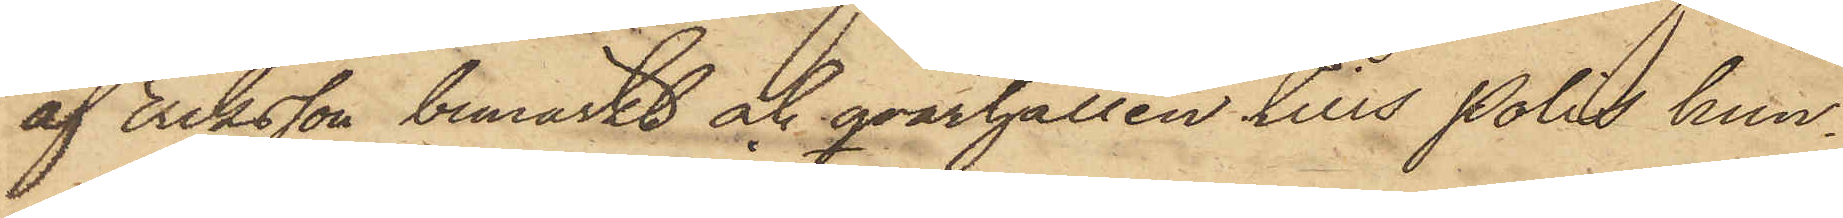af Eriksson bemärkt och qvarhållen tills Polis hun¬
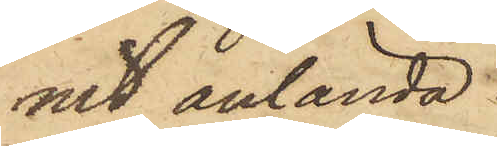nit anlända.
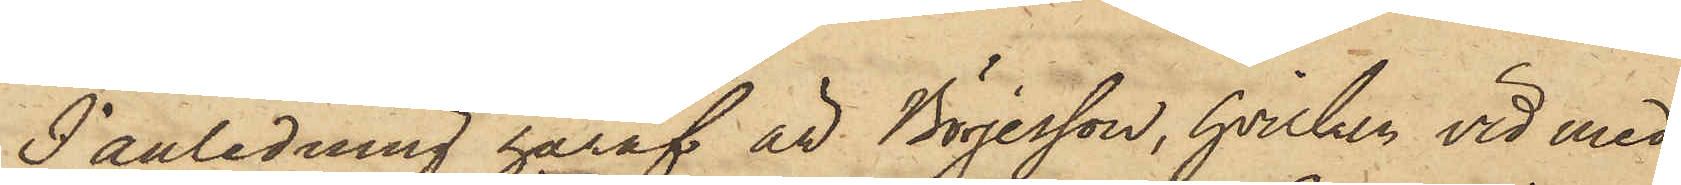I anledning häraf är Börjesson, hvilken vid med
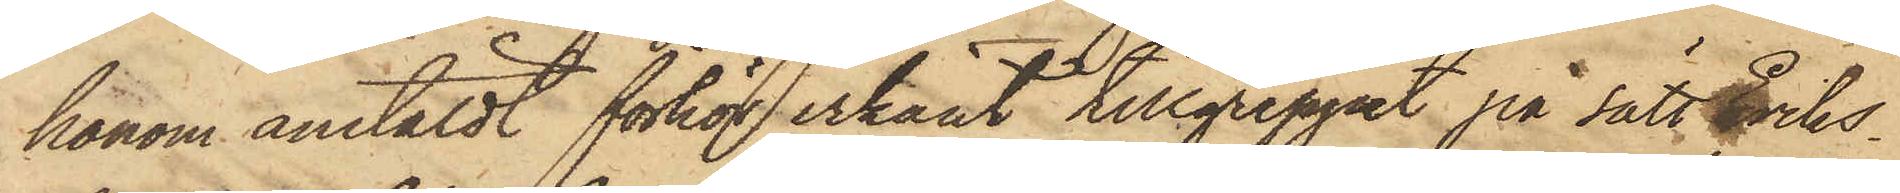honom anstäldt förhör erkänt tillgreppet på sätt Eriks¬
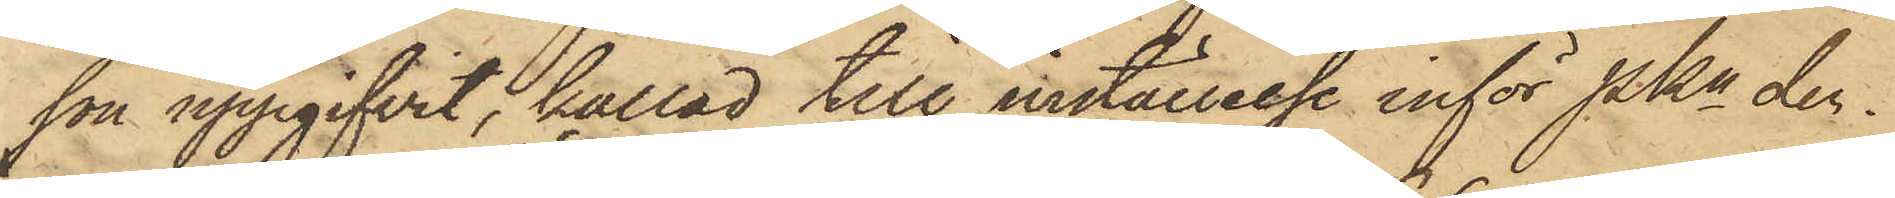son uppgifvit, kallad till inställelse inför Pkn der¬
